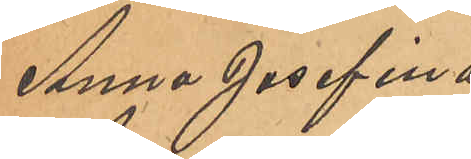Anna Josefina
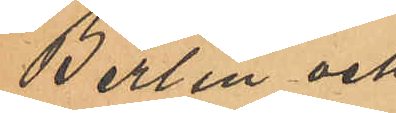Berlin och
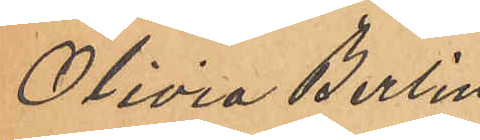Olivia Berlin
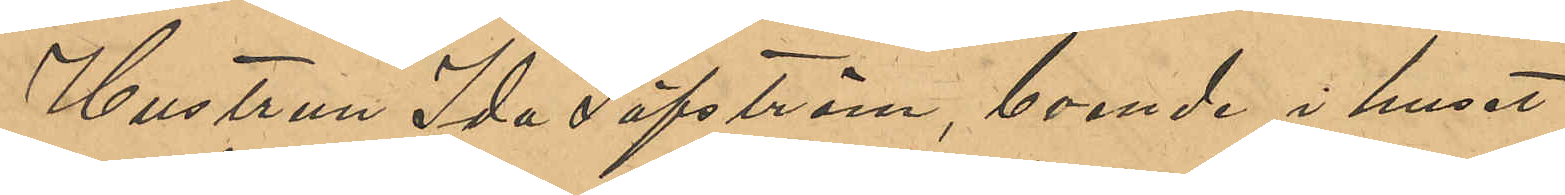Hustrun Ida Säfström, boende i huset
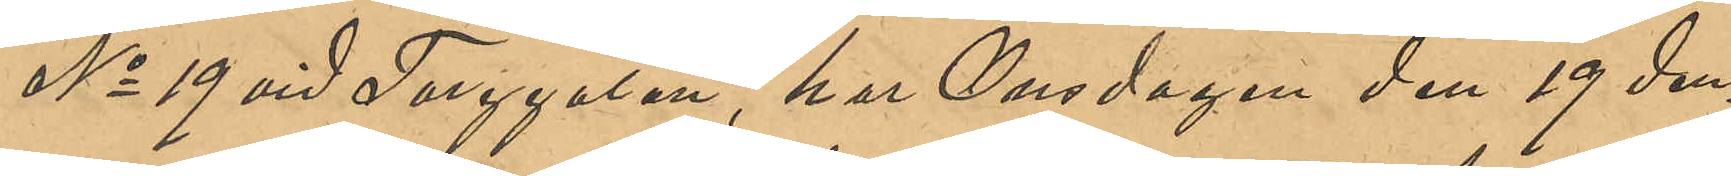No 19 vid Torggatan, har Onsdagen den 19 den¬
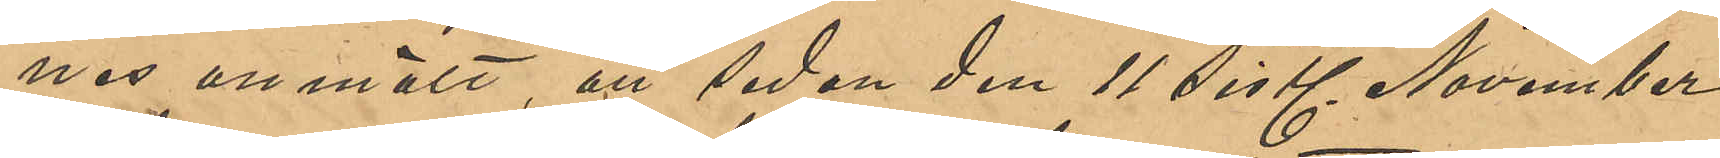nes anmält, att sedan den 11 sistl November
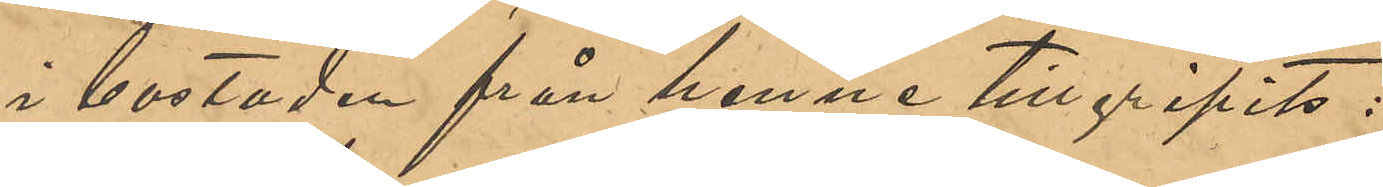i bostaden från henne tillgripits:
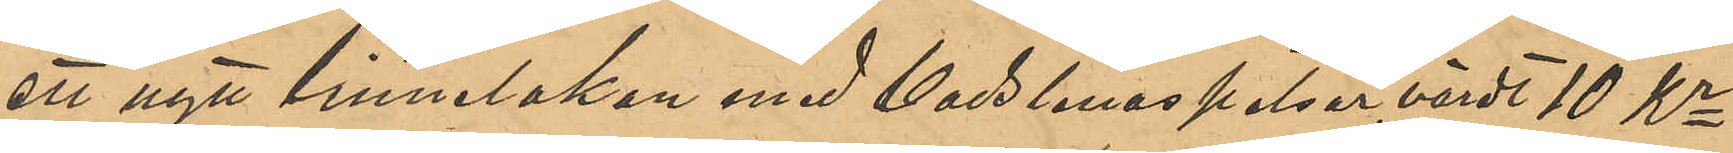ett nytt linnelakan med Vadstenaspetsar, värdt 10 Kr
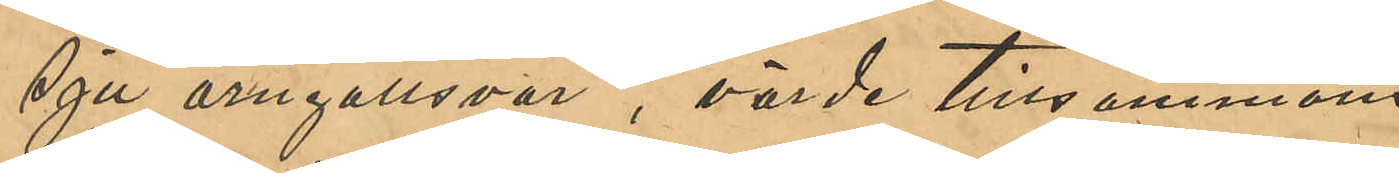sju örngottsvar, värde tillsammans
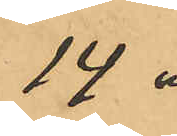14 "
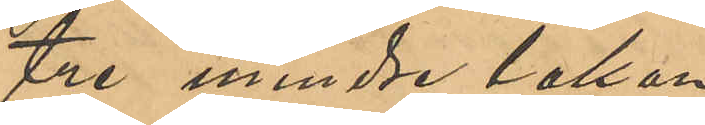tre mindre lakan
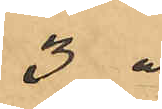3 "
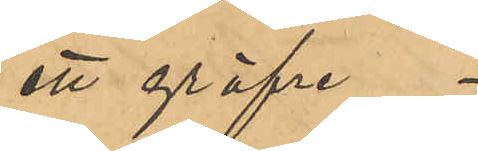ett gröfre
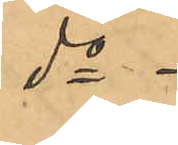do
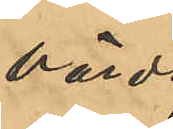värdt
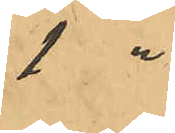1 "
